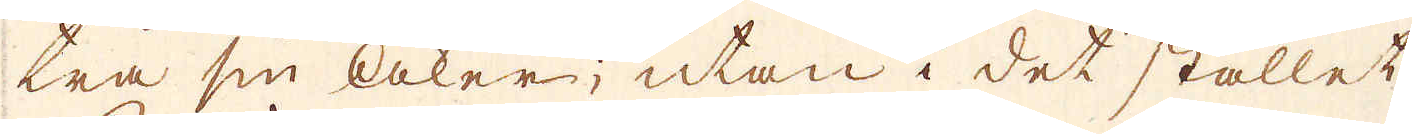tra sin åker; utan i det stället
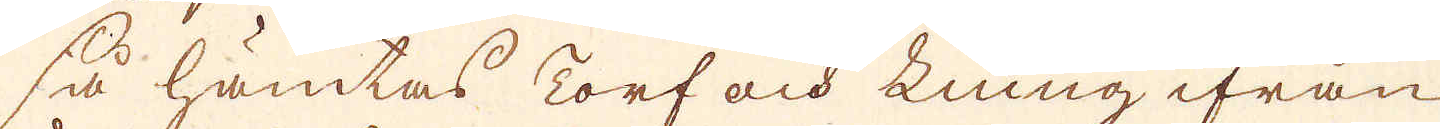så hämtas Torf och Liung ifrån
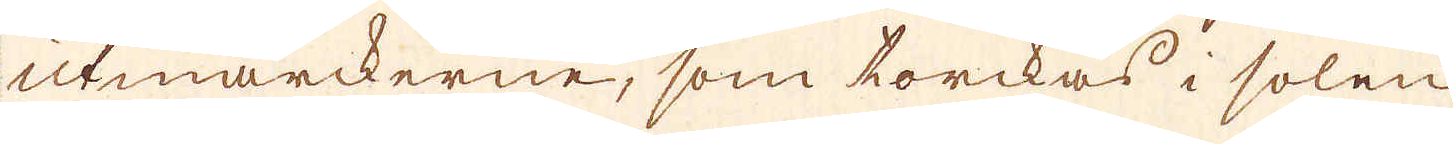utmarckerne, som torckas i solen
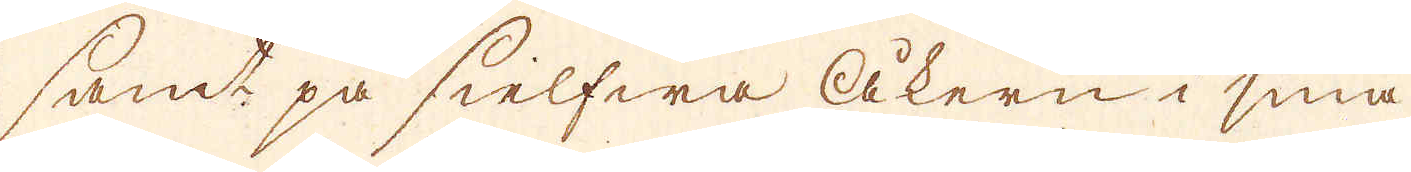samt på sielfwa åkern i små
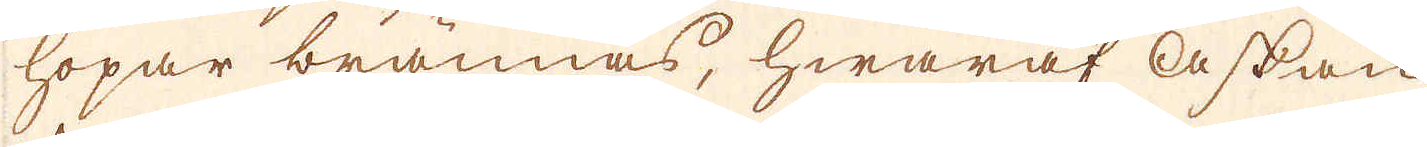hopar brännas, hwaraf askan
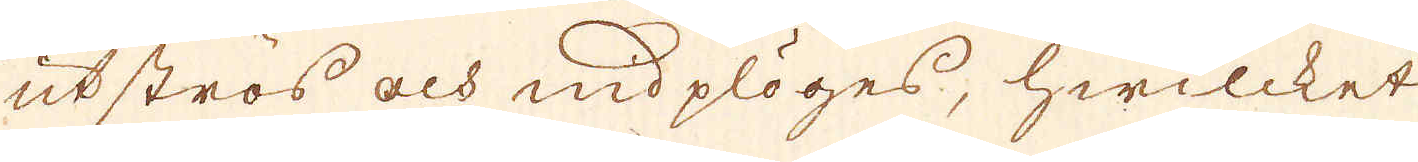utströs och nidplöges, hwilcket
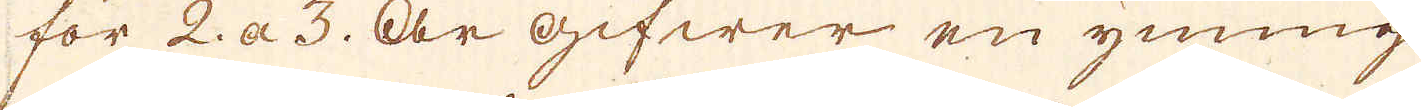för 2 a 3 år gifwer en ymnig
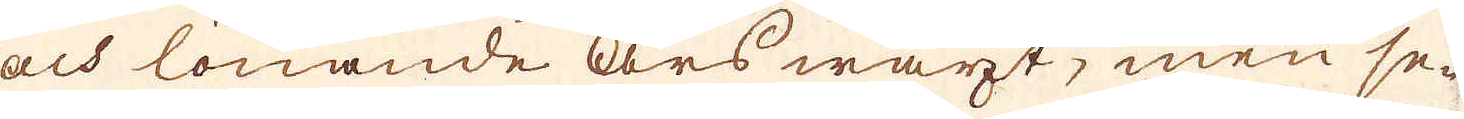och lönande års wäxt, men se-
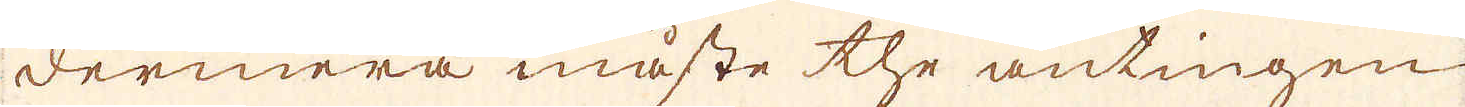dermera måste the antingen
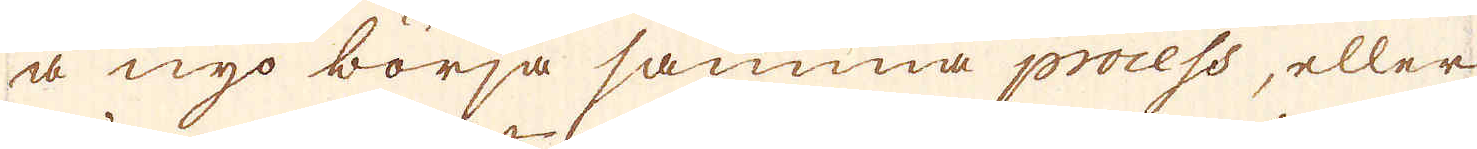å nyo börja samma process, eller
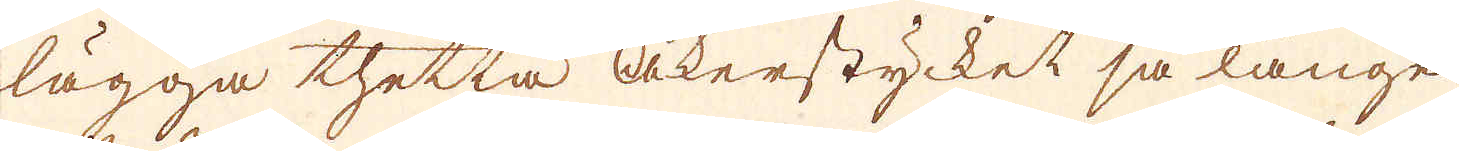lägga thetta åkerstycket så länge
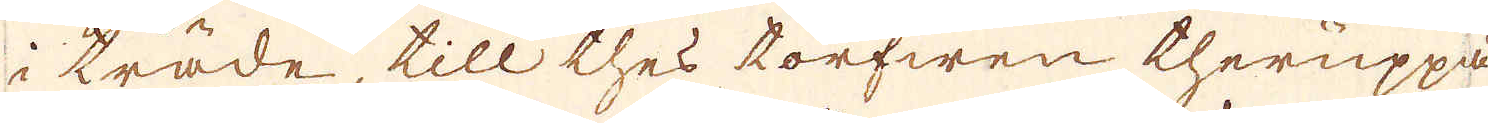i träde, till thes torfwen theruppå
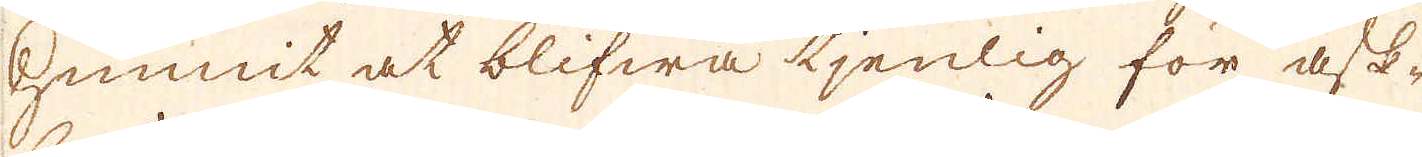hunnit at blifwa tjenlig för ask-
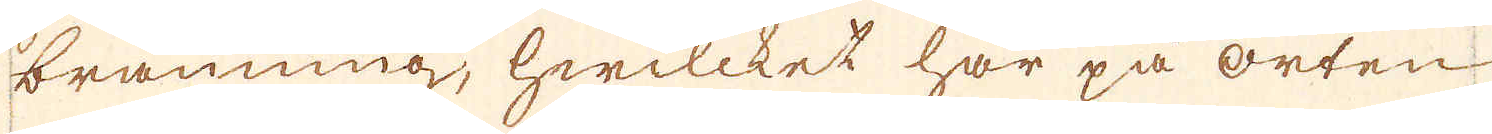bränning, hwilcket här på orten
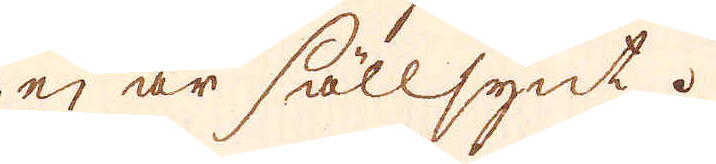ej är sällsynt.
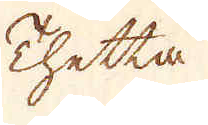Thetta
